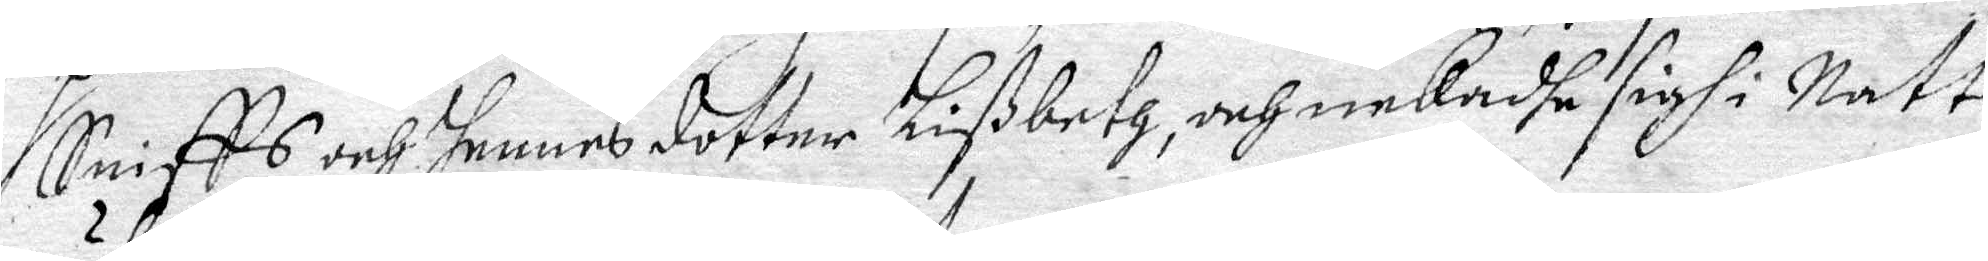Sniffs och hennes dotter Lißbeth, och nekadhe sigh i Natt
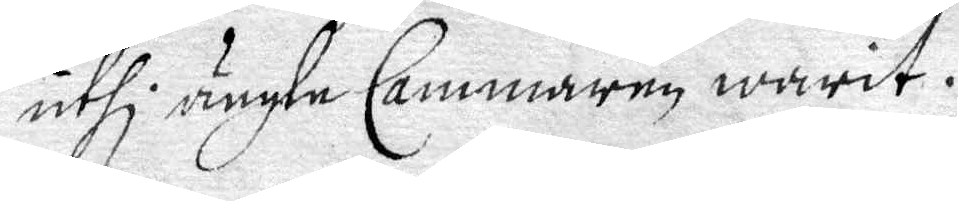uthi ängle Cammaren warit.
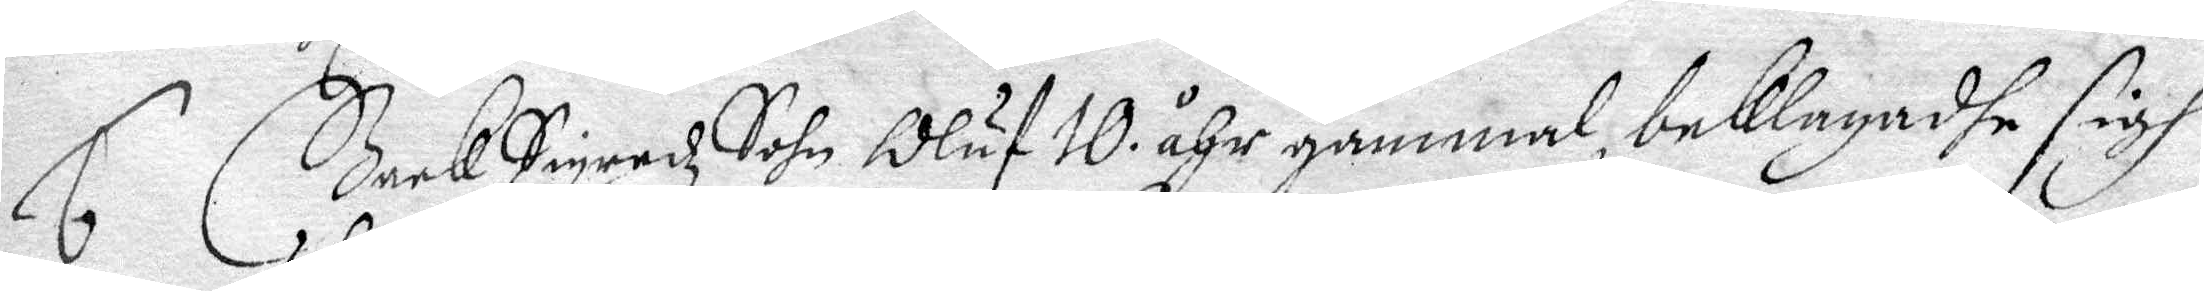6. Bock Sigredz Sohn Oluf 10 åhr gammal, beklagadhe sigh
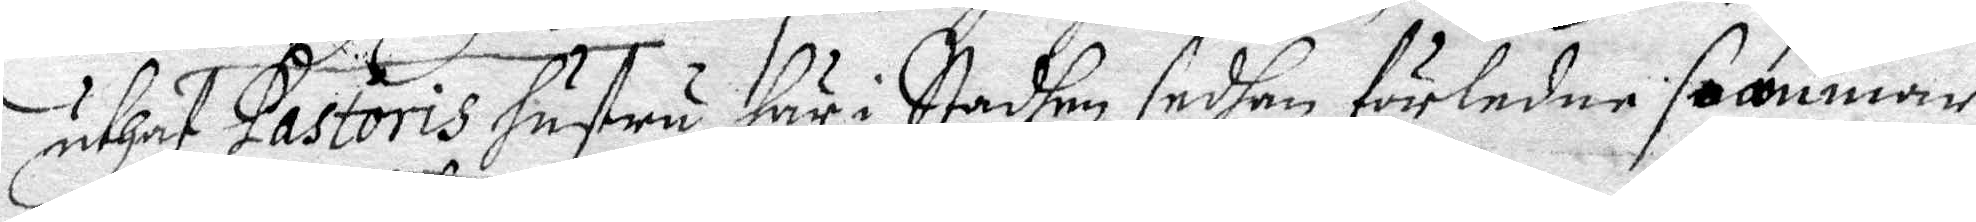unhaf Pastoris Hustru hur i Stadhen sedhan förledne sommar
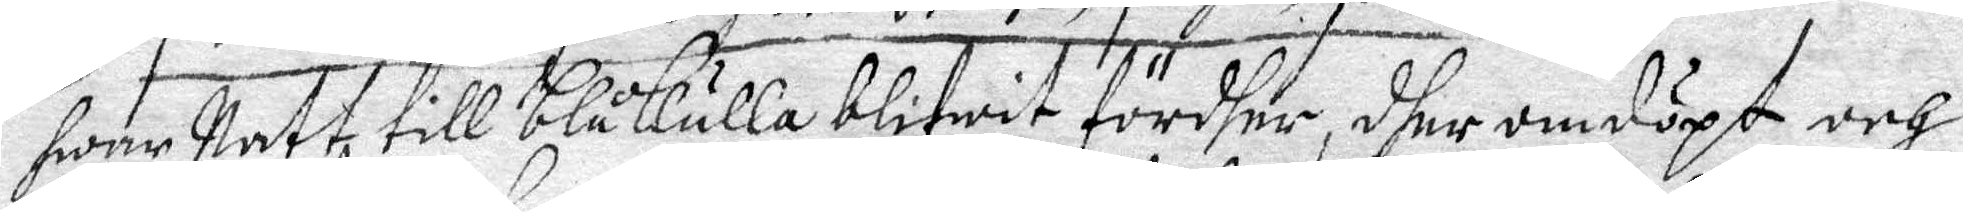hwar Natt till Blåkulla blifwit fördher, dher omdöpt och
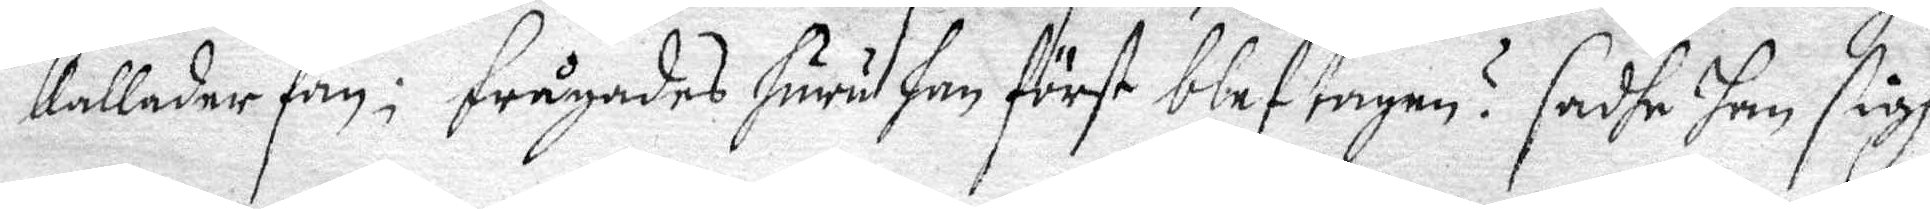kallader fan: frågades huru han först blef tagen? sadhe han sigh
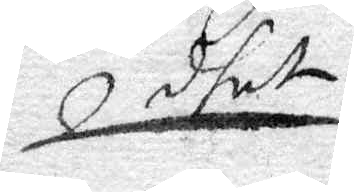dhet
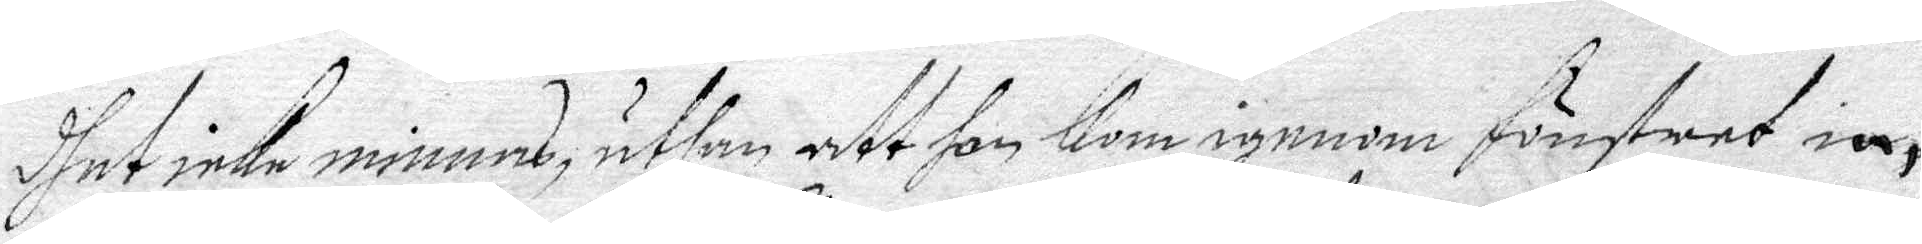dhet icke minnes, uthan att hon Kom igenom fönstres in,
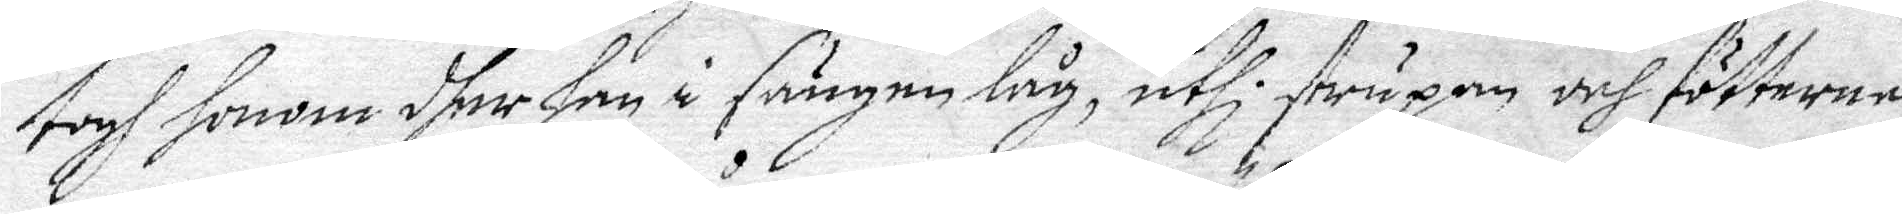togh honom dher han i sängen låg, uthi strupan och fötterne
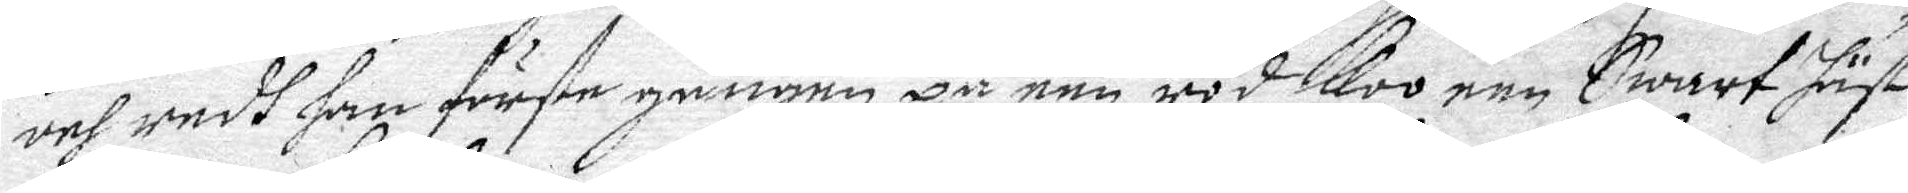och redt han förste gången på een röd Koo, een Swart häst
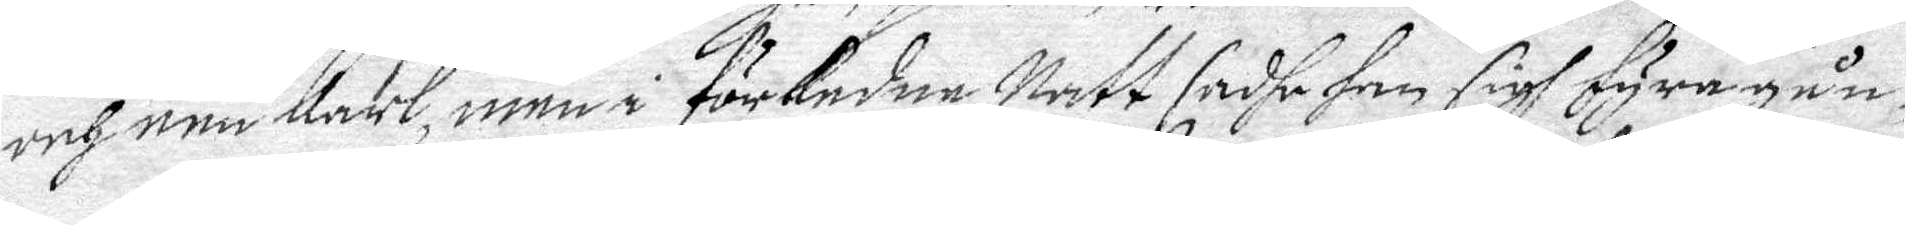och een Karl, men i förledna Natt sadhe han sigh fyra gån¬
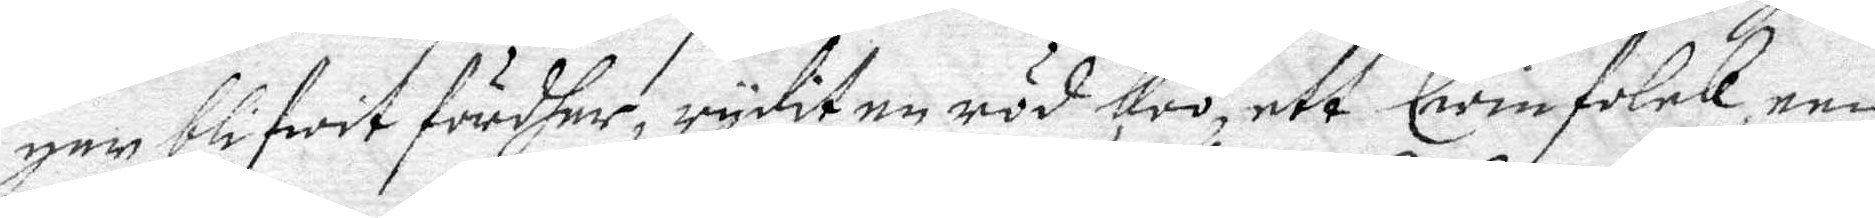ger blifwit fördher, rydit en röd koo, ett Qwinfolck, een
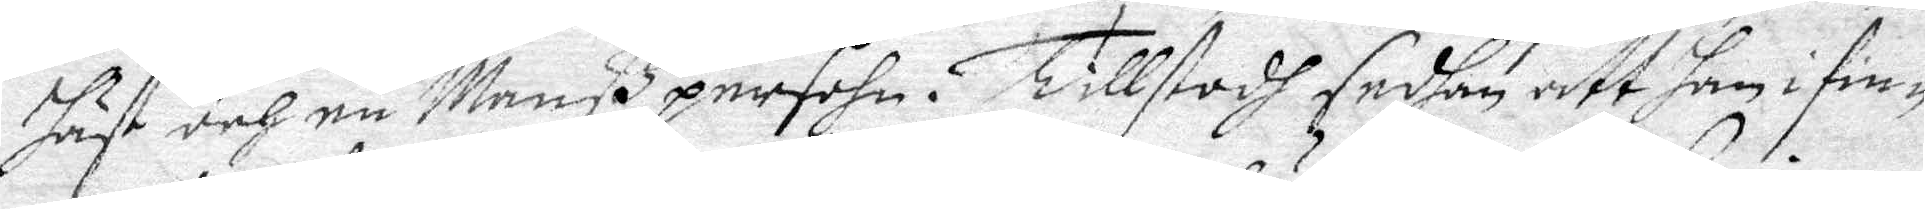häst och en Manß persohn. Tillstodh sedhan att han i fin—
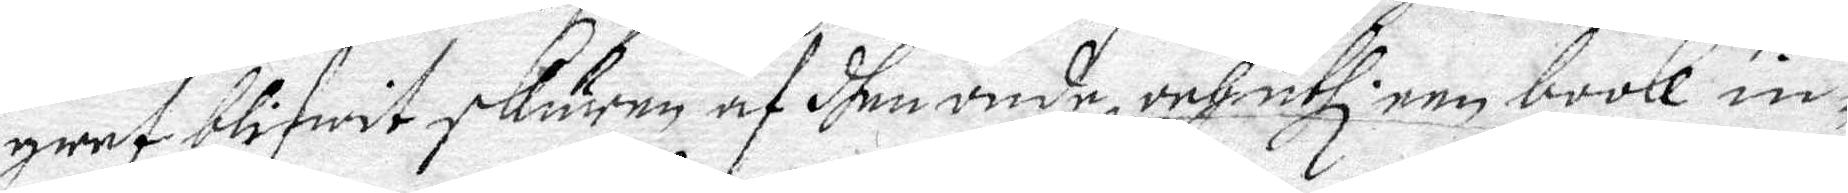gret blifwit skuren af dhen onde, och uthi een booll in¬
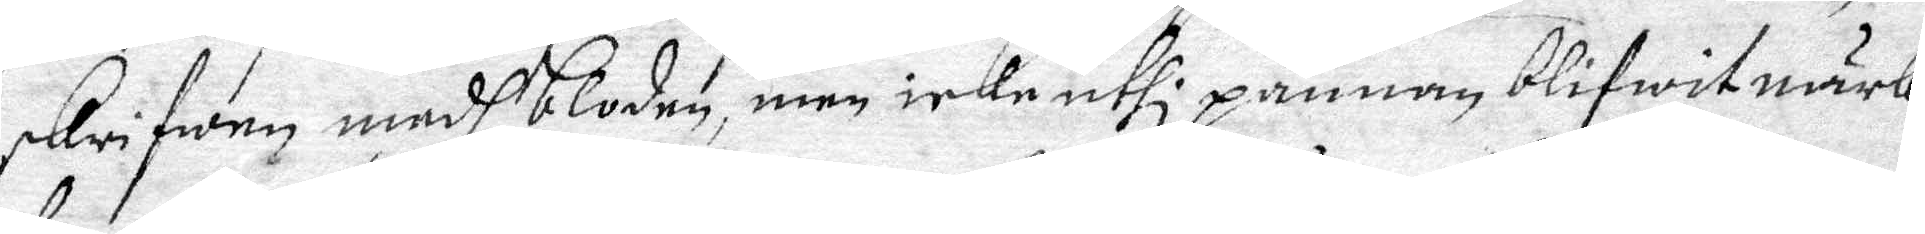skrifwen medh bloden, men icke uthi pannan blifwit märk¬
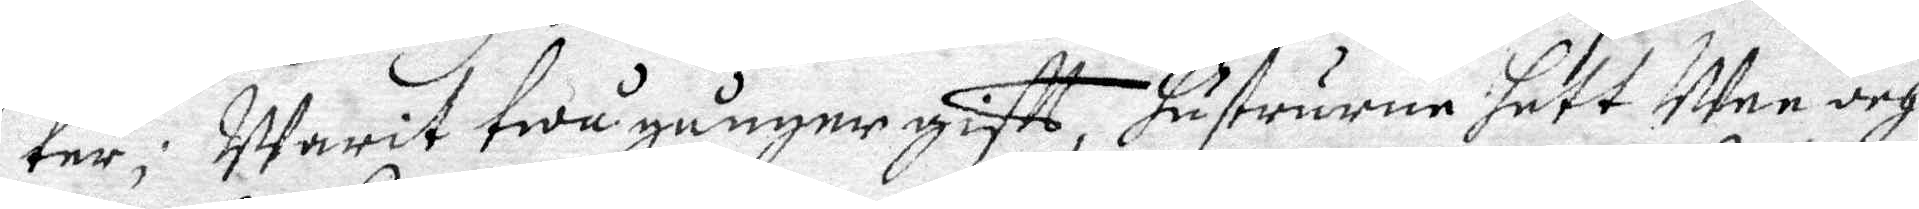ter; Warit twå gånger gifft, hustrurne hett Men och
